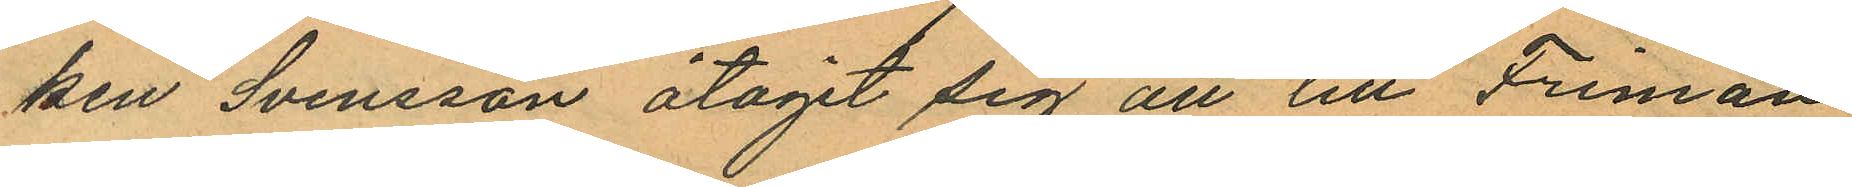ken Svensson åtagit sig att till Friman
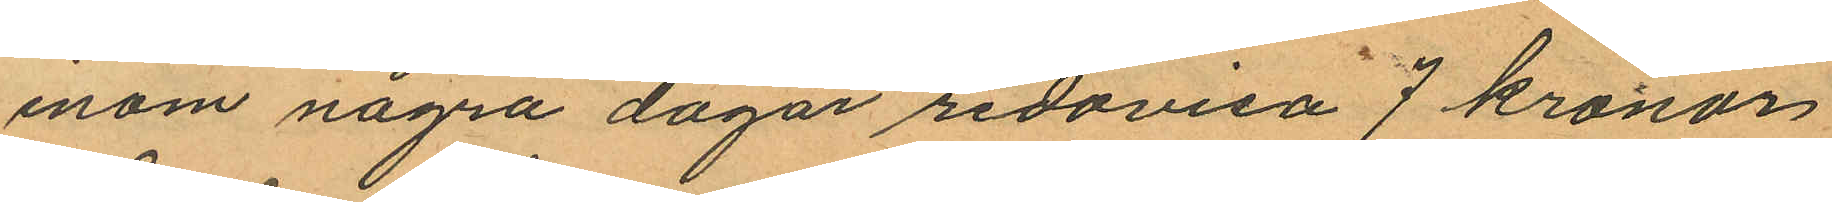inom några dagar redovisa 7 kronor,
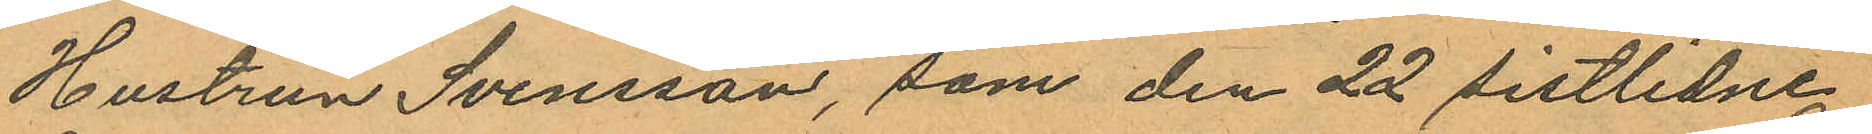Hustrun Svensson, som den 22 sistlidne
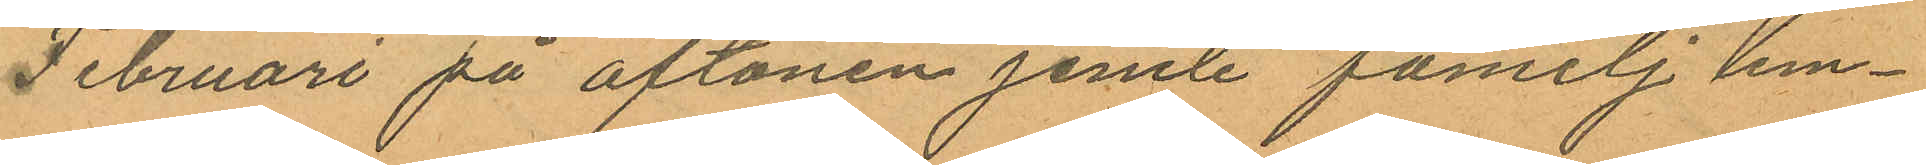Februari på aftonen jemte familj lem¬
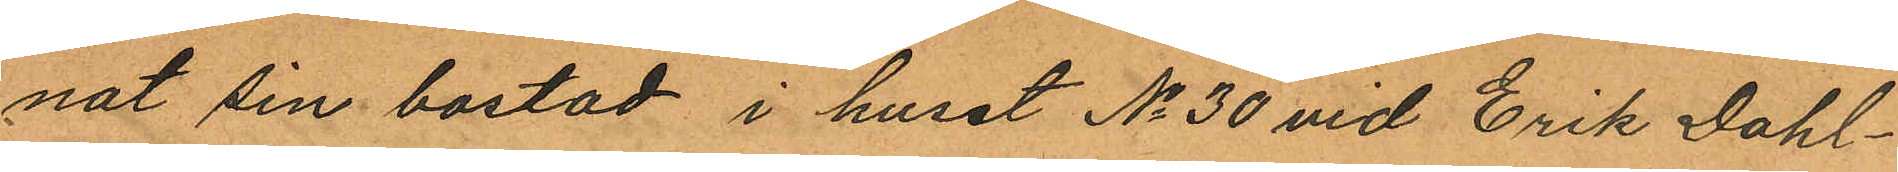nat sin bostad i huset No 30 vid Erik Dahl¬
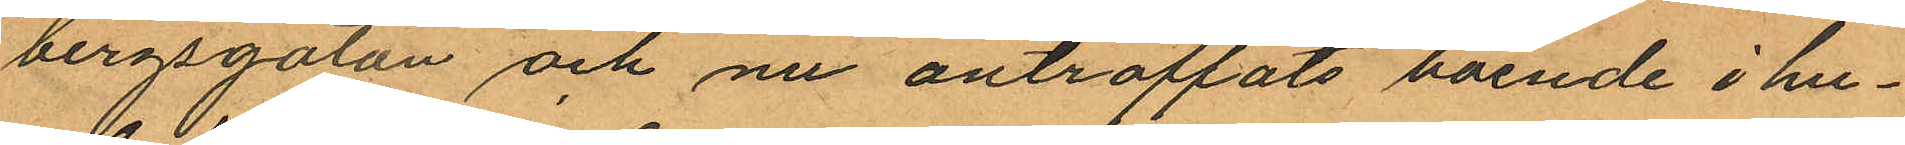bergsgatan och nu anträffats boende i hu¬
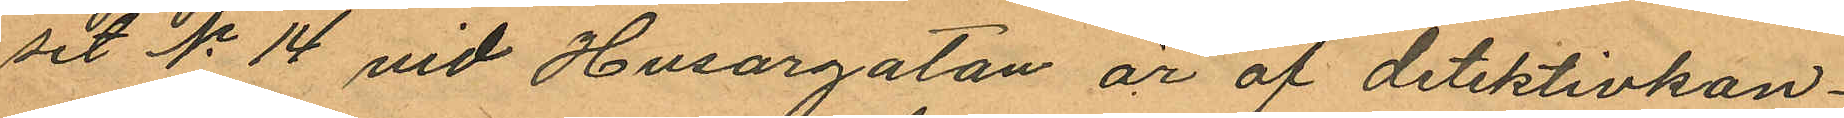set No 14 vid Husargatan är af detektivkon¬
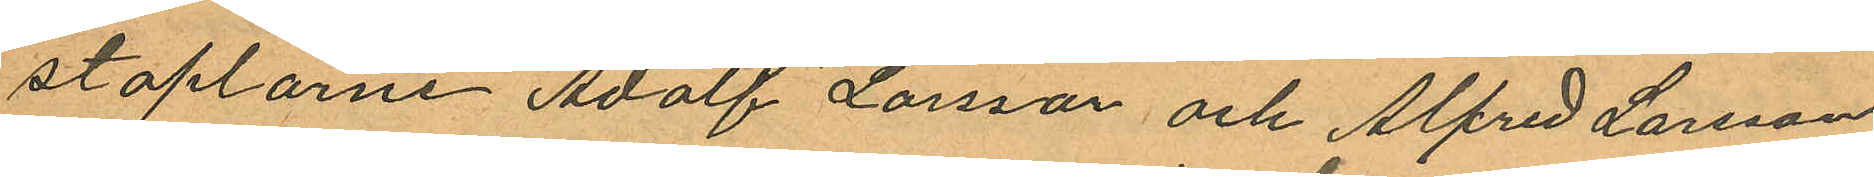staplarne Adolf Larsson och Alfred Larsson
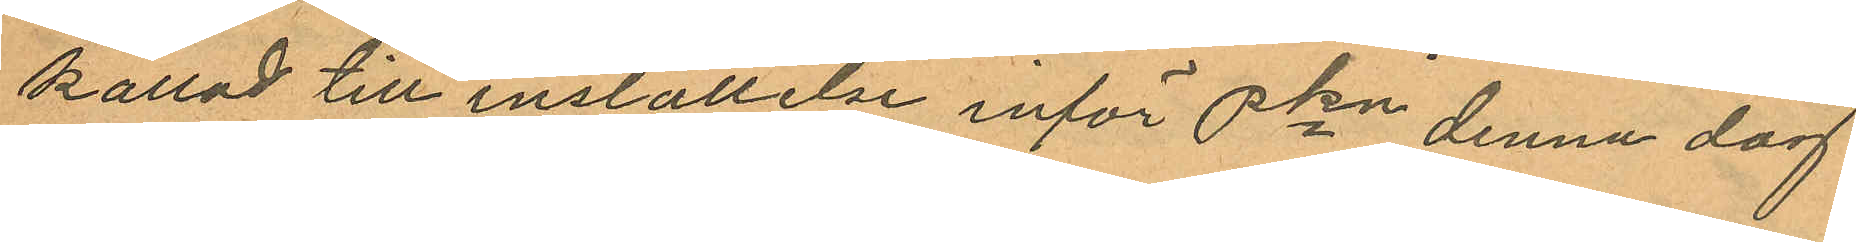kallad till inställelse inför Pkn denna dag
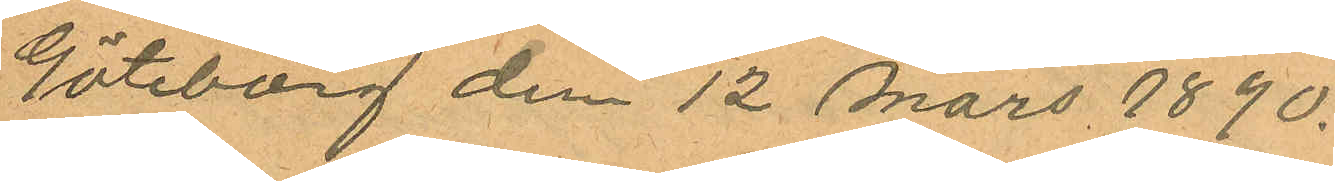Göteborg den 12 Mars 1890.
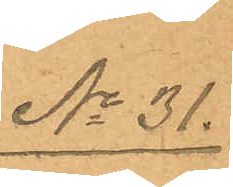No 31.
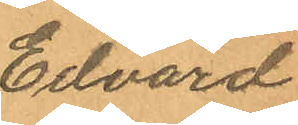Edvard
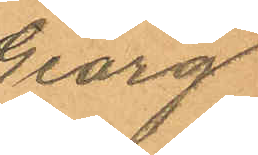Georg
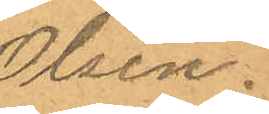Olsen.
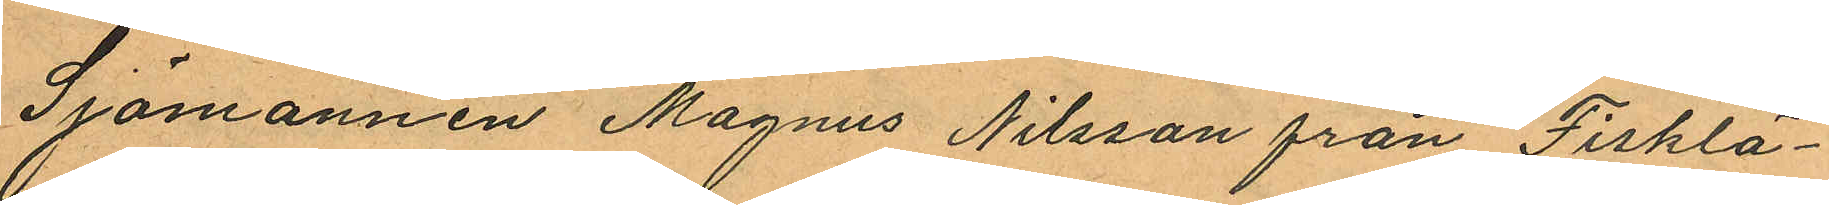Sjömannen Magnus Nilsson från Fisklä¬
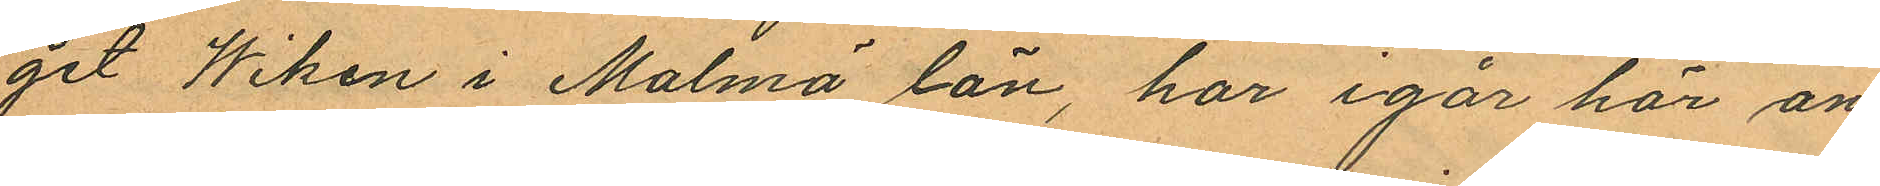get Wiken i Malmö län, har igår här an¬
